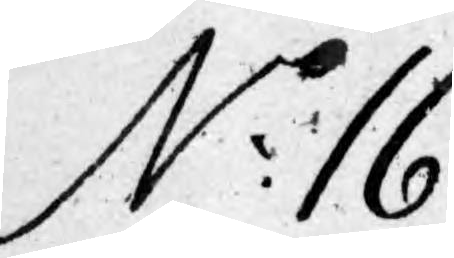No 16.
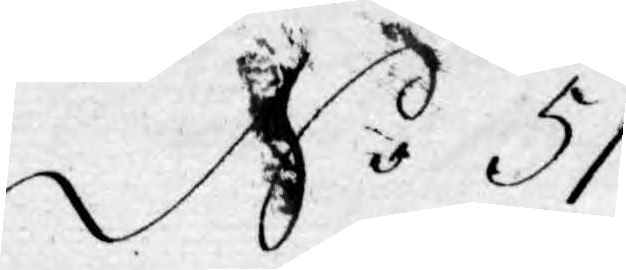No 51.
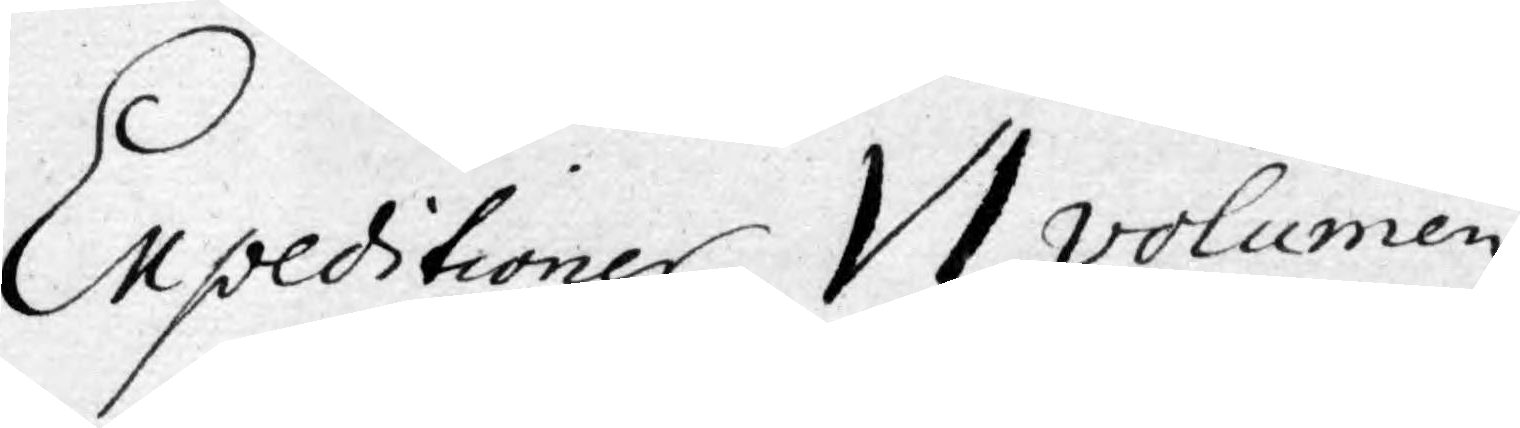Expeditioner VI volumen
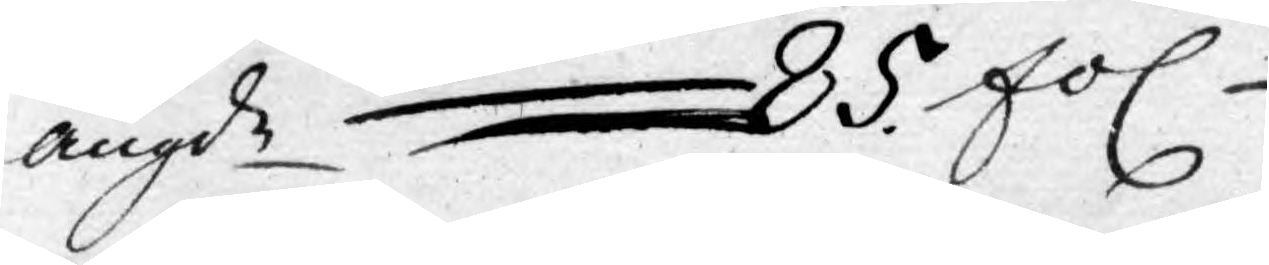angde 85 fol
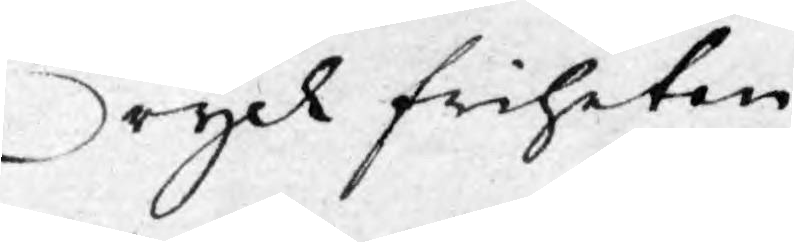Tryck friheten.
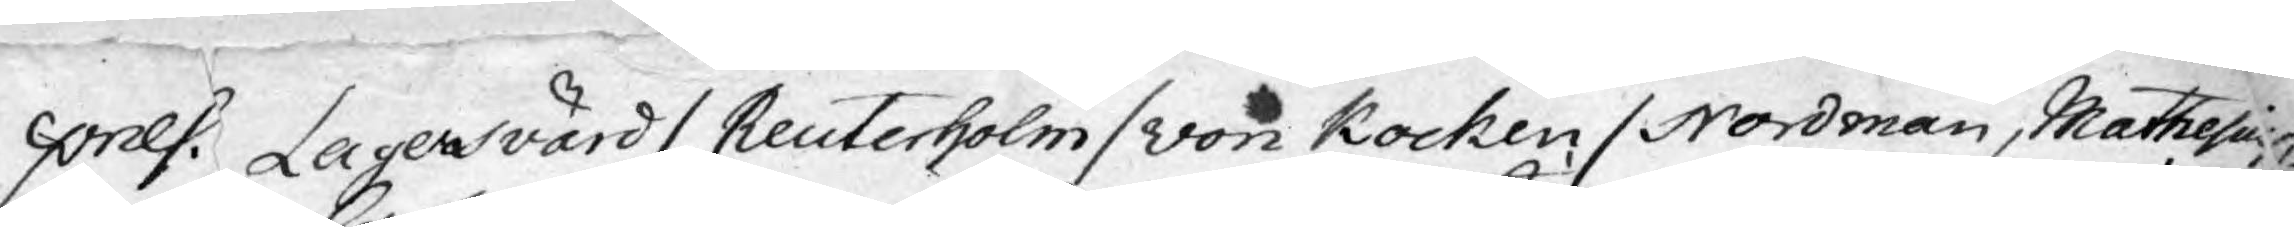pnlf: Lagerswärd / Reuterholm /von Kocken / Nordman, Mathesius,
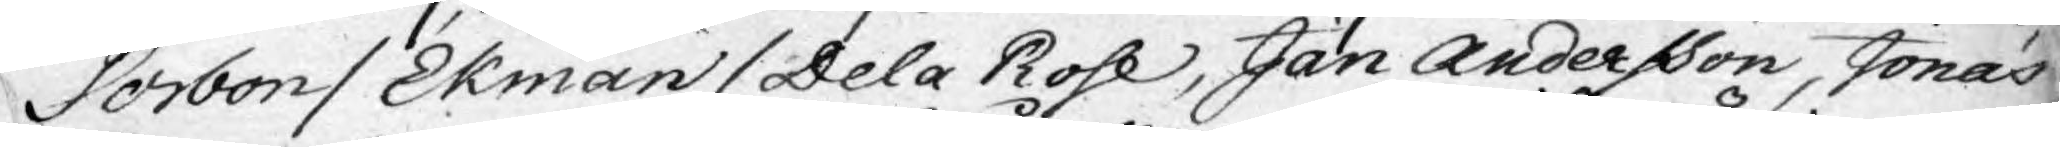Sorbon / Ekman / De la Rose, Jan Andersson, Jonas
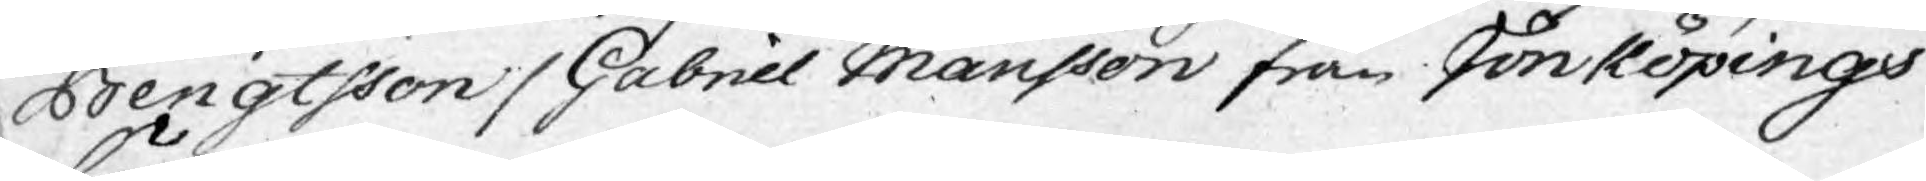Bengtsson / Gabriel Månsson från Jönköpings
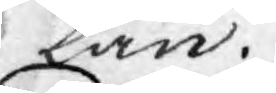Län.
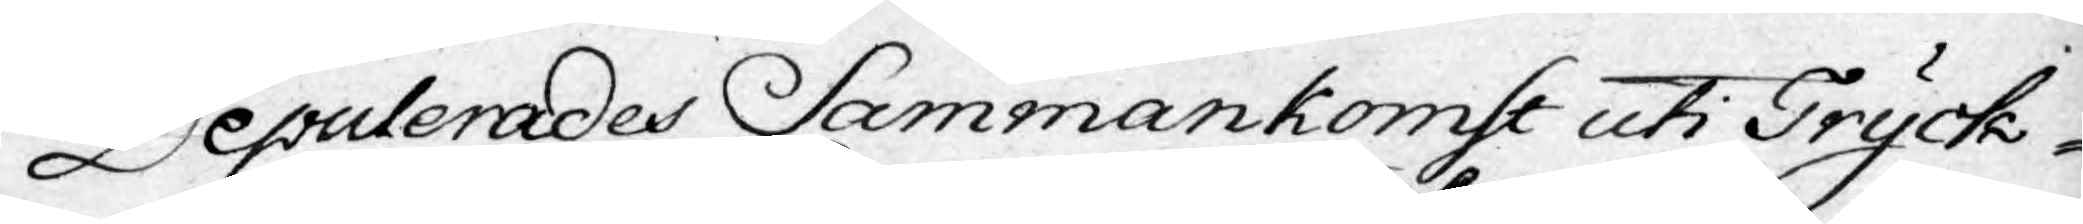Deputerades Sammankomst uti Tryck-
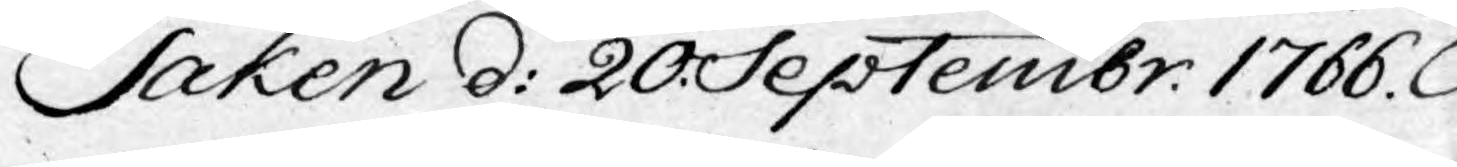Saken d: 20 Septembr. 1766.
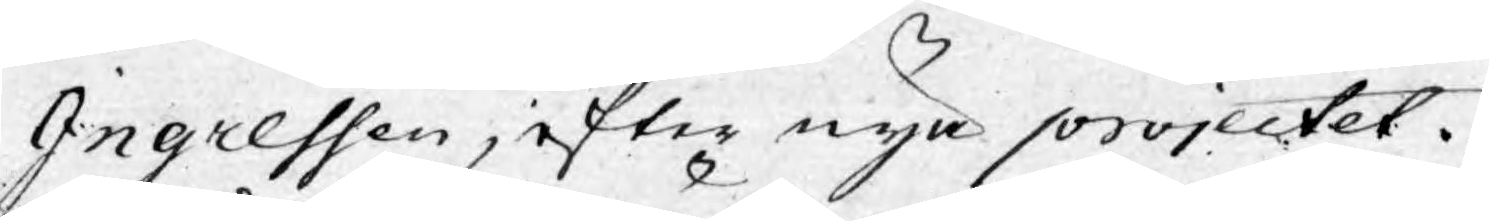Ingressen, efter nya projectet.
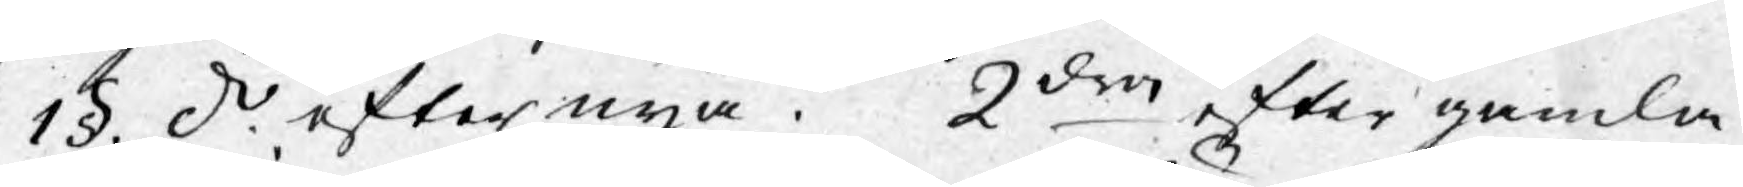1§. d. efter nya. 2dra efter gamla
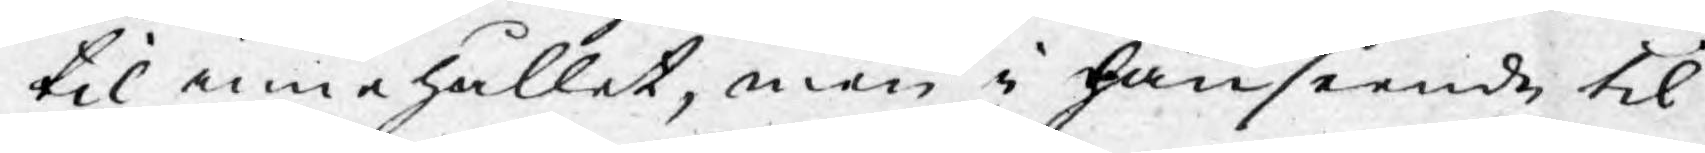til innehållet, men i hänseende til
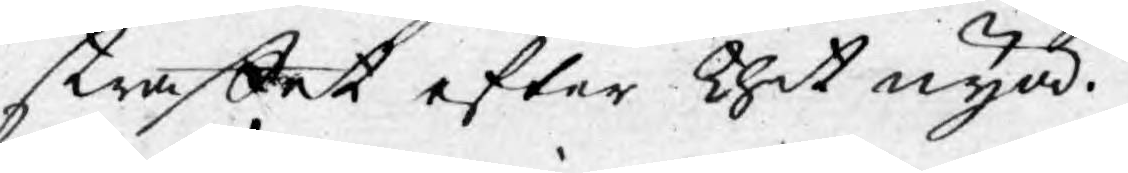straffet efter thet nya.
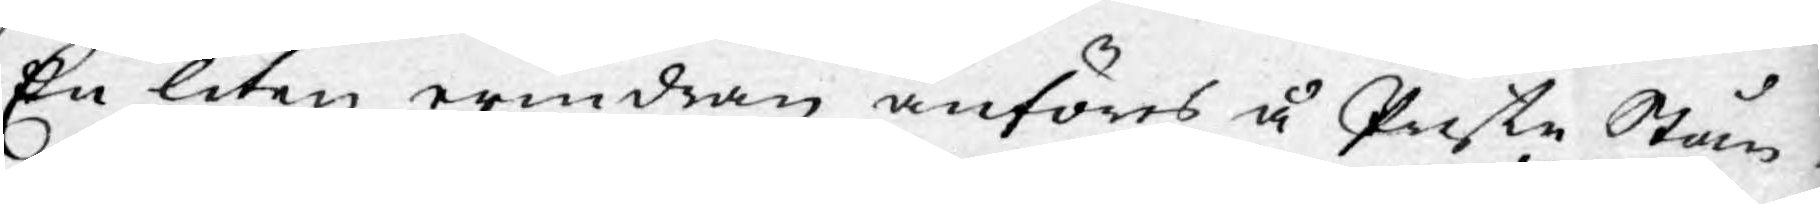En liten erindran anföres å Preste Stån¬
